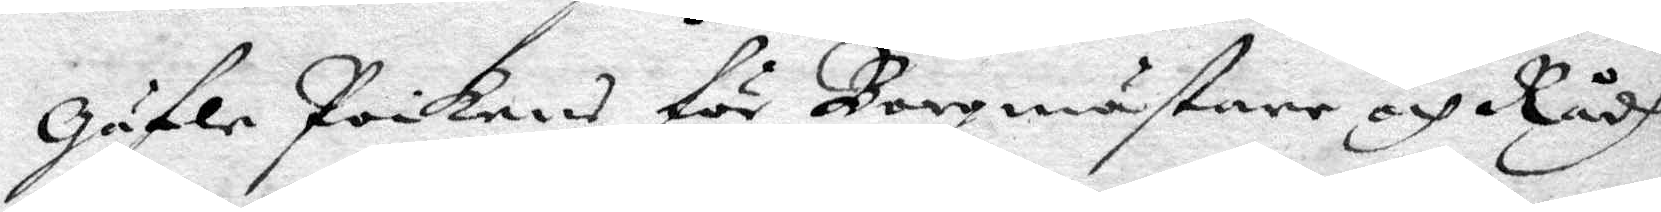Gäfle Poikens för Borgmästare och Rådh
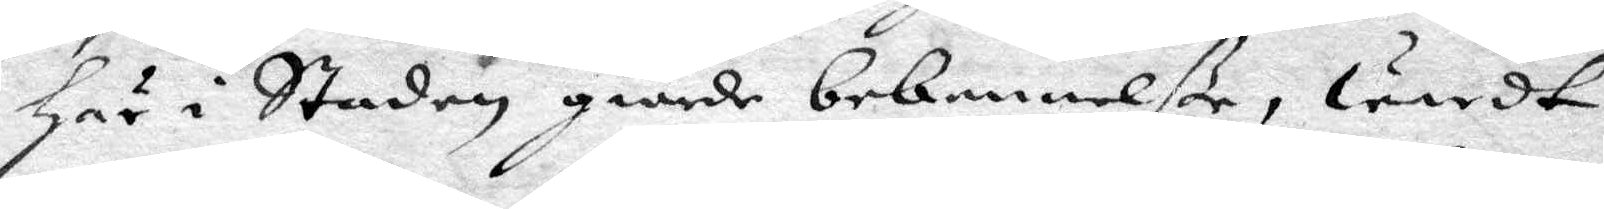här i Staden giorde bekennelße, wardt
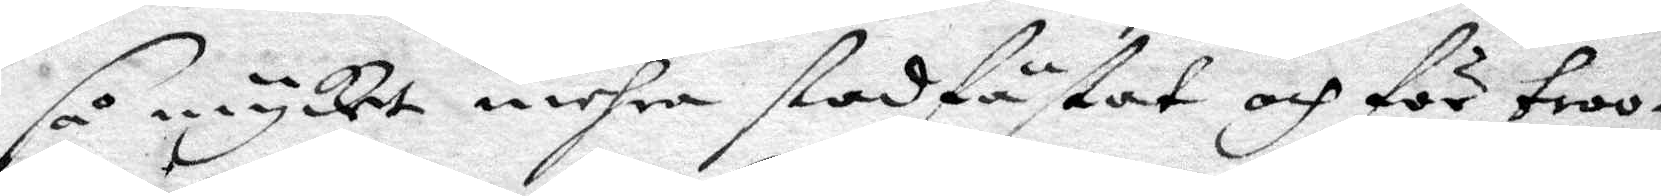så mycket mehra stadfästat och för troo¬
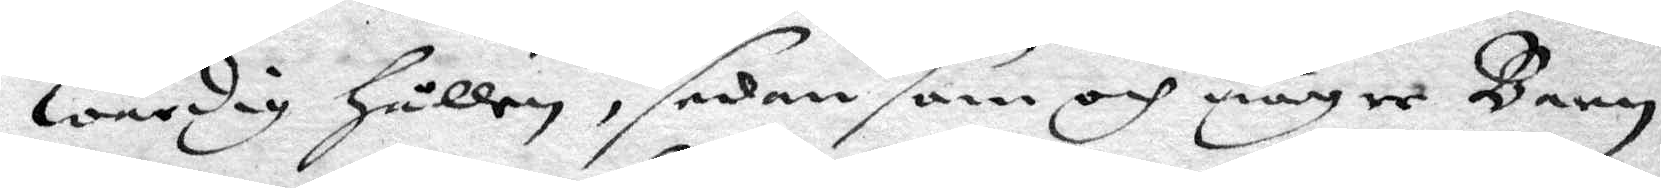wärdig hållen, sedan som och någre Barn
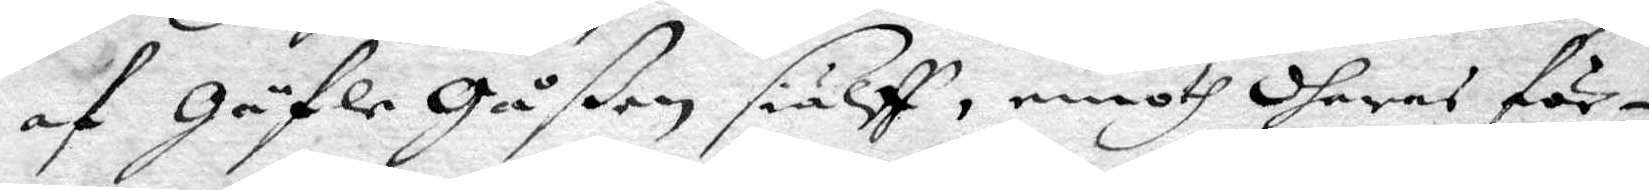af Gäfle Gåßen sielff, emoth dheras för¬
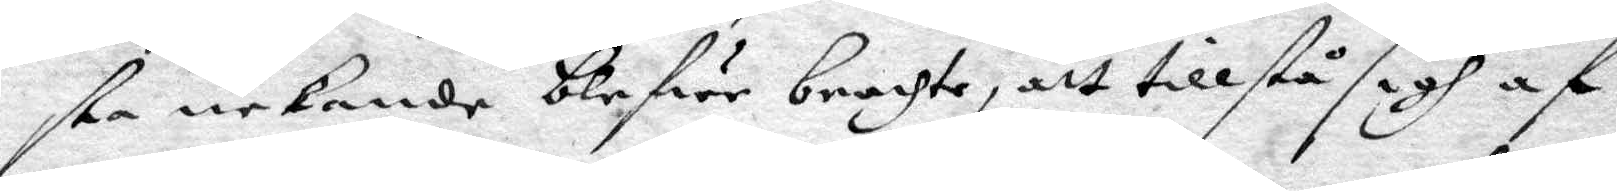sta nekande blifwer brachte, att tillstå sigh af
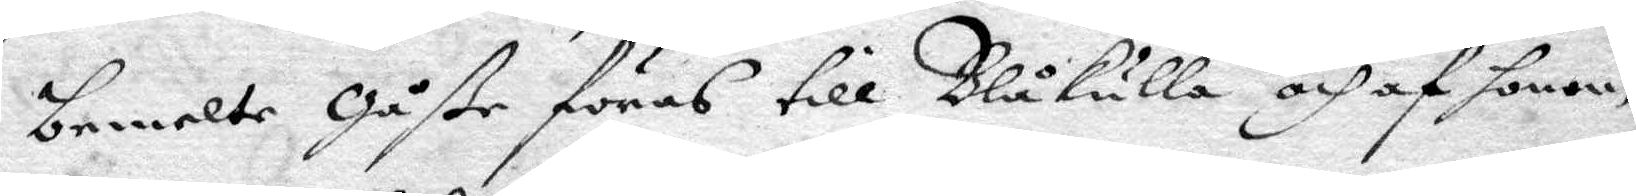bemelte Gåße föras till Blåkulla och af honom
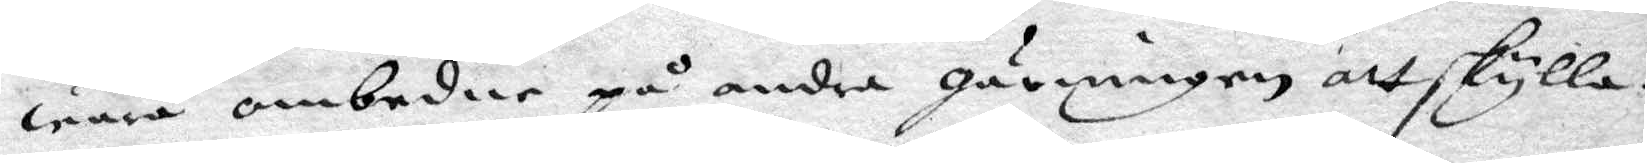wara ombeder på andra gärningen att skylla.
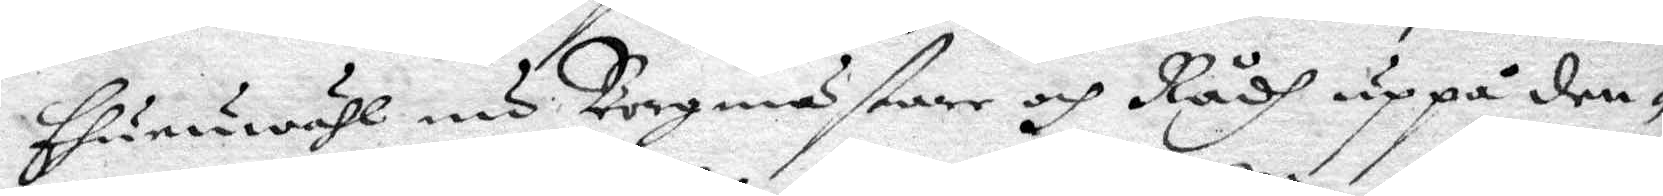Ehuruwähl nu Borgmästare och Rådh uppå den¬
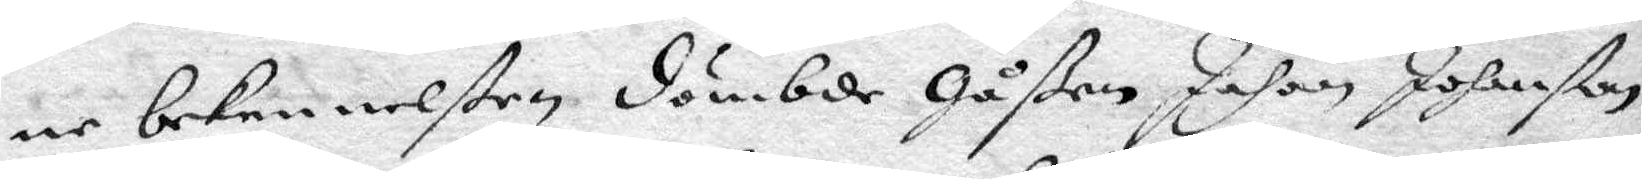ne bekennelßen dömbde Gåßen Johan Johanßon
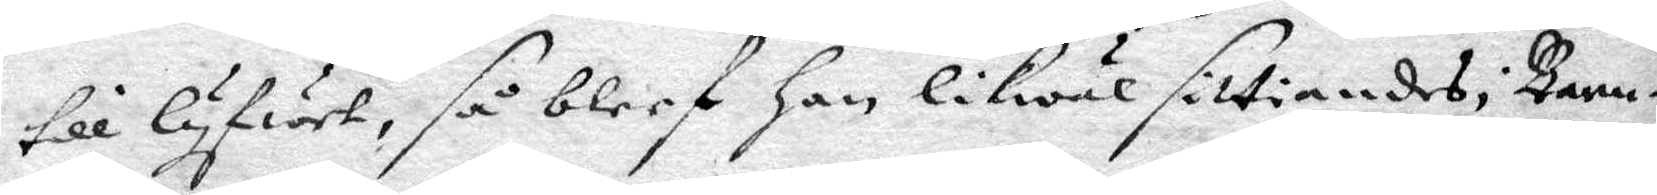till lyfwet, så bleef han likwäl sittiandes i Barn¬
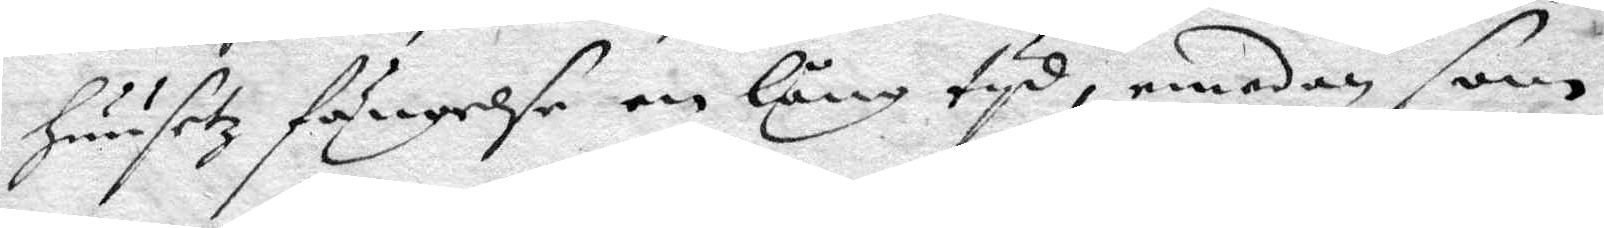huusetz fängelse en lång tyd, emedan som
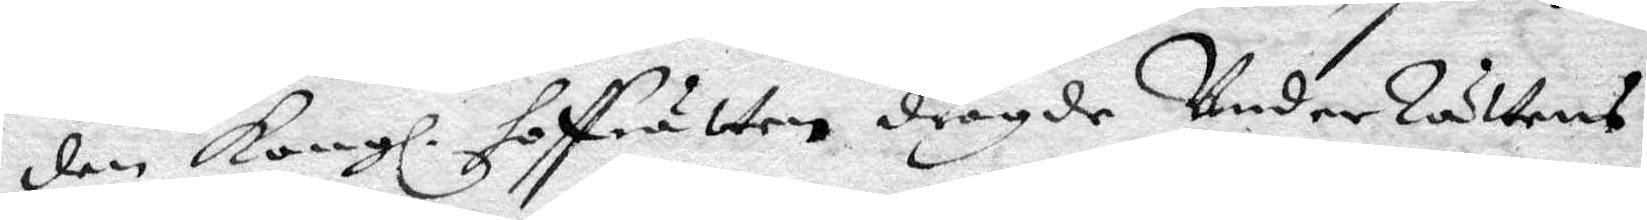den Kongl. hoffrätten drögde UnderRättens
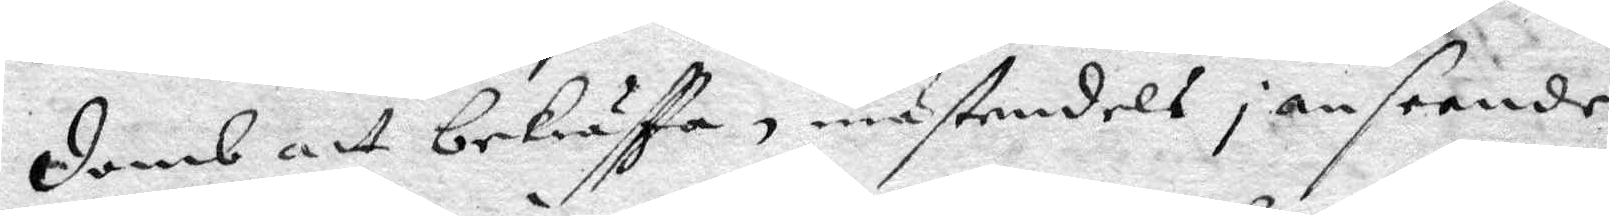domb att bekräftta, mästendels i anseende
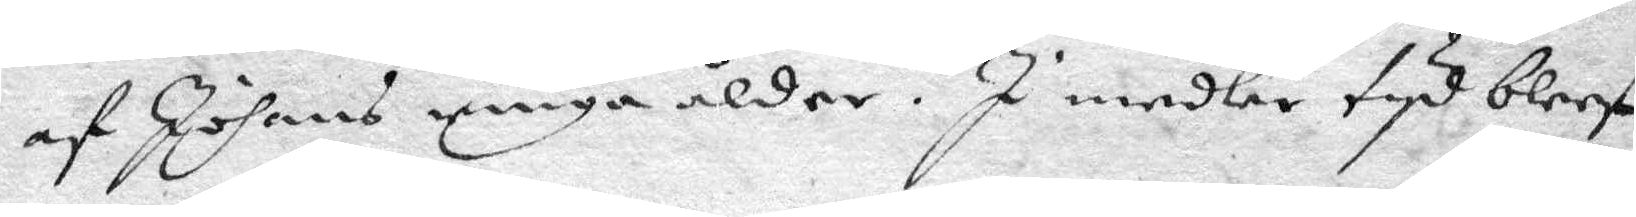af Johans ringa ålder. I medler tyd bleef
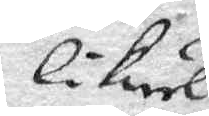likwäl
